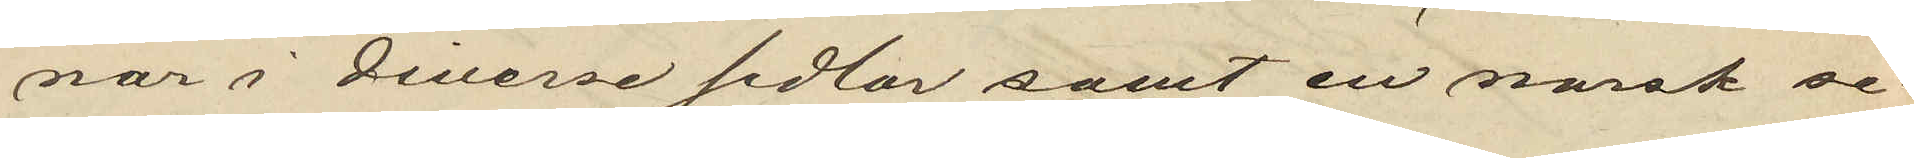nor i diverse sedlar samt en norsk se¬
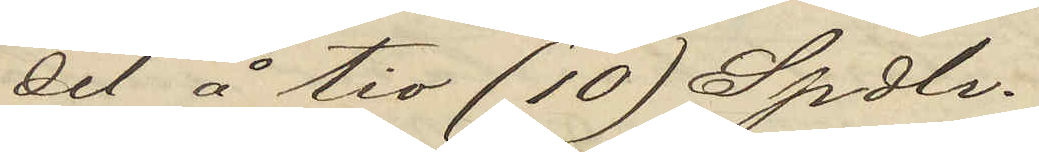del å tio (10) Spdl.
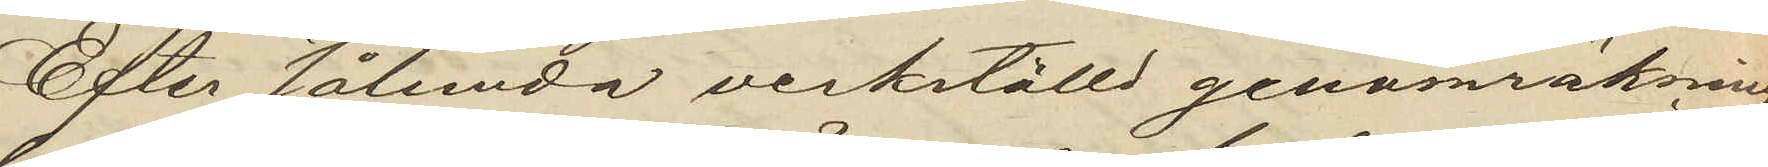Efter sålunda verkställd genomräkning
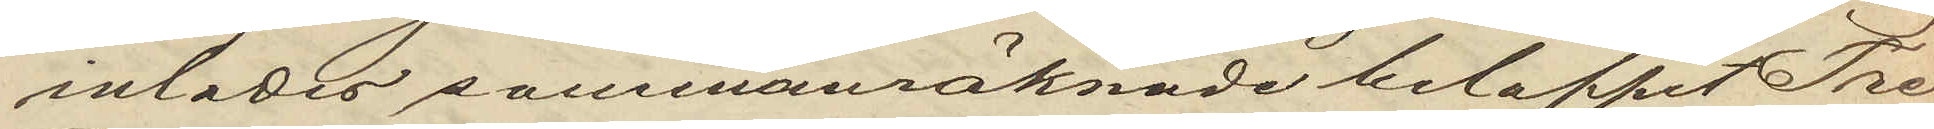inlades sammanräknade beloppet Tre
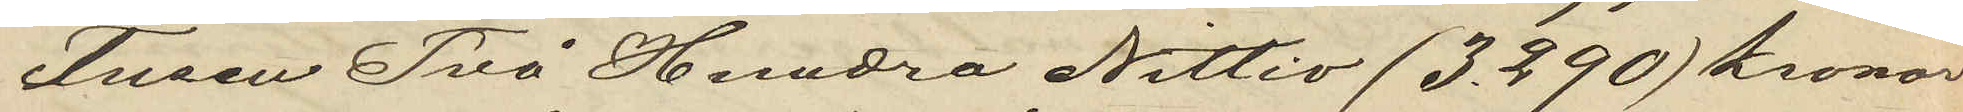Tusen Två Hundra Nittio (3,290) kronor
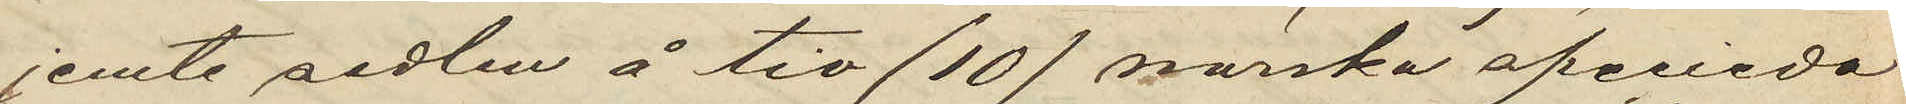jemte sedlen å tio (10) norska specieda¬
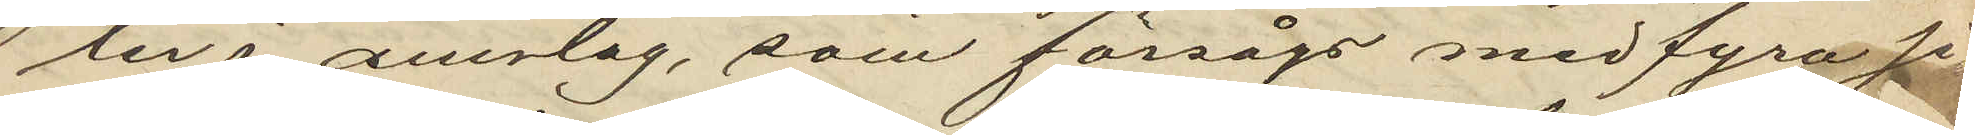ler i omslag, som försågs med fyra si¬
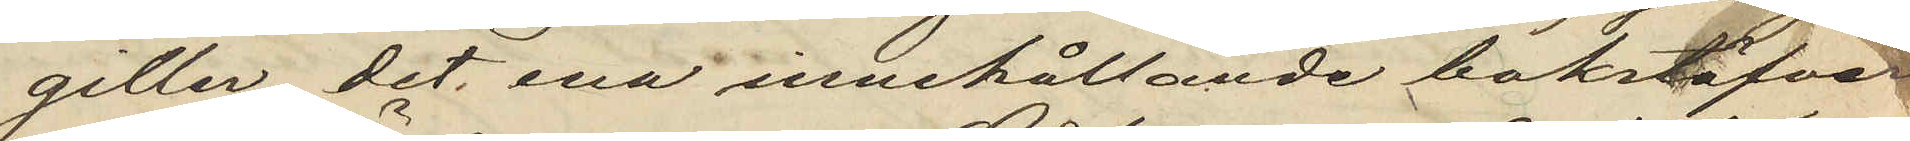giller, det ena innehållande bokstäfver¬
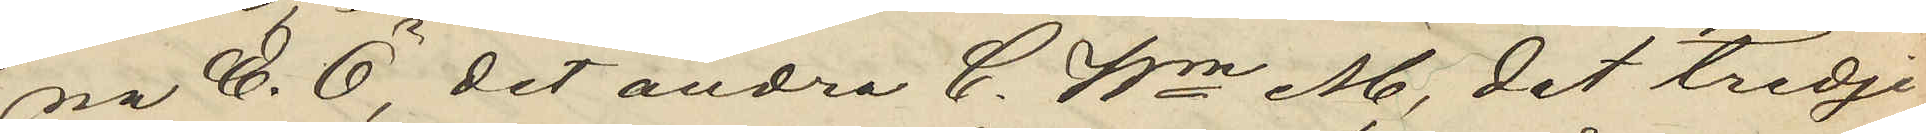na E. Ö. det andra C. Wm, det tredje
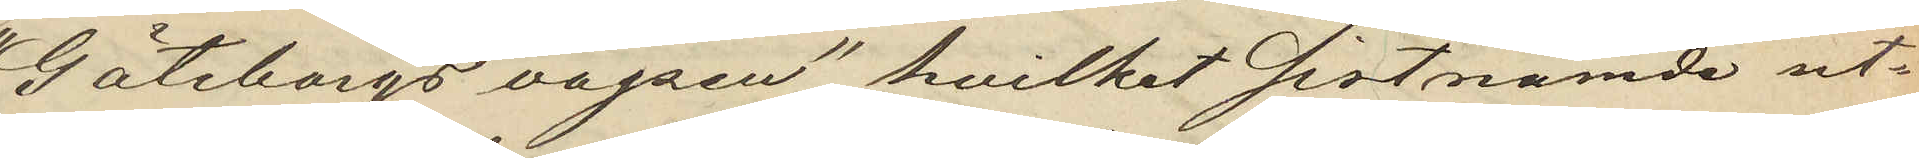"Göteborgs vapen", hvilket sistnämde ut¬
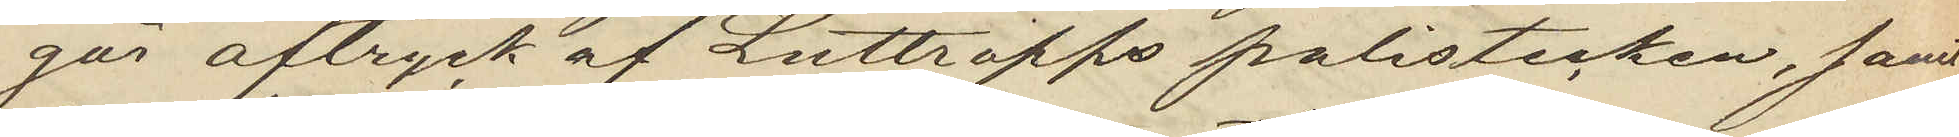gör aftryck af Luttropps polistecken, samt
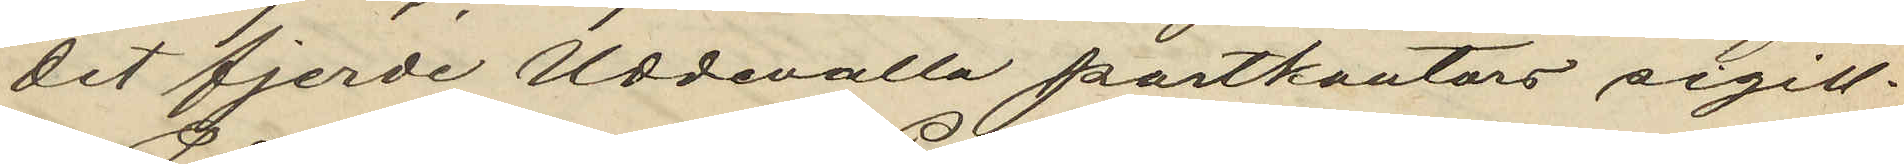det fjerde Uddevalla postkontors sigill.
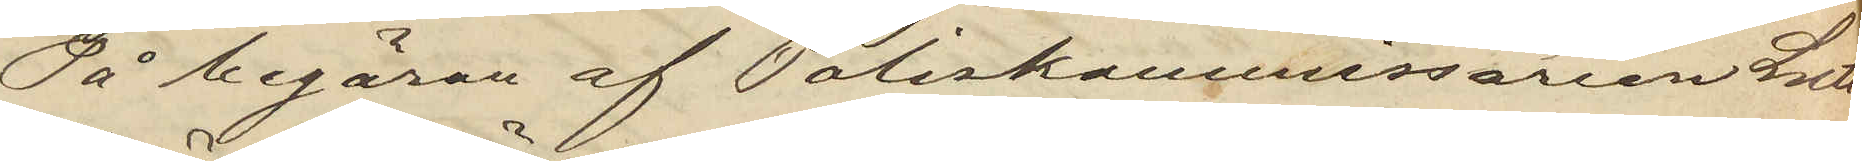På begäran af Poliskommissarien Lutt¬
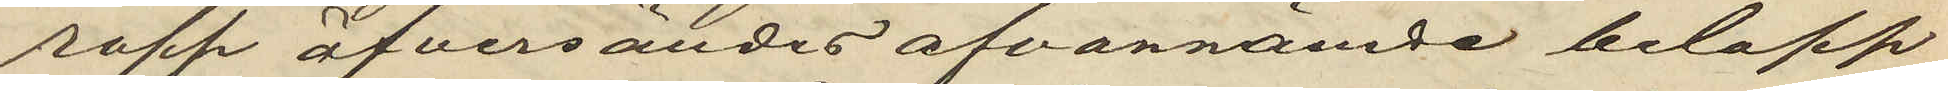ropp öfversändes ofvannämde belopp
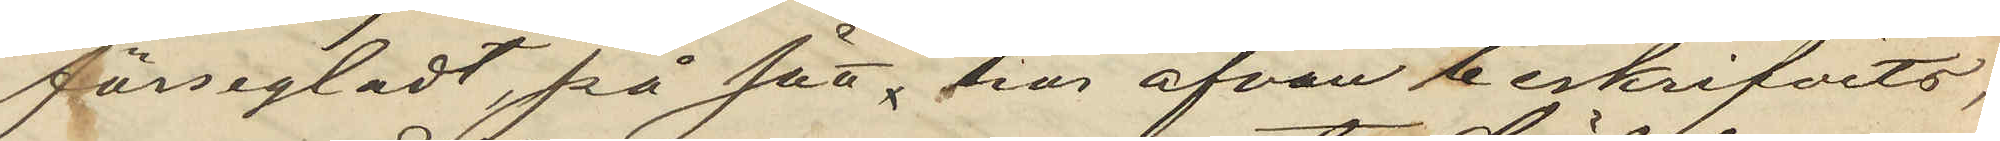försegladt, på sätt här ofvan beskrifvits,
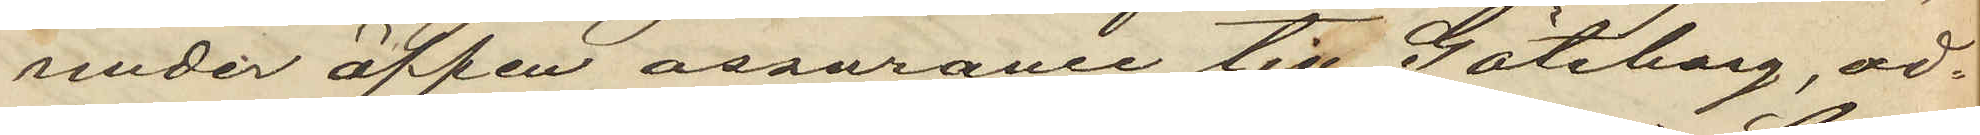under öppen assurance till Göteborg, ad¬
